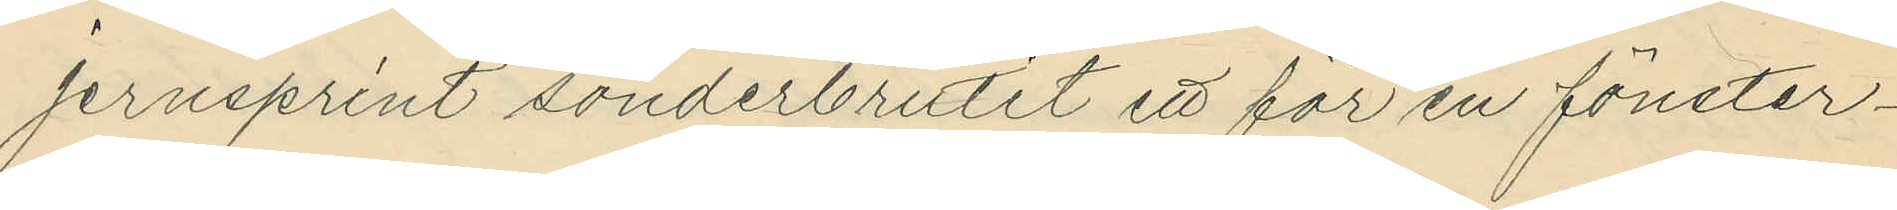jernsprint sönderbrutit ett för en fönster¬
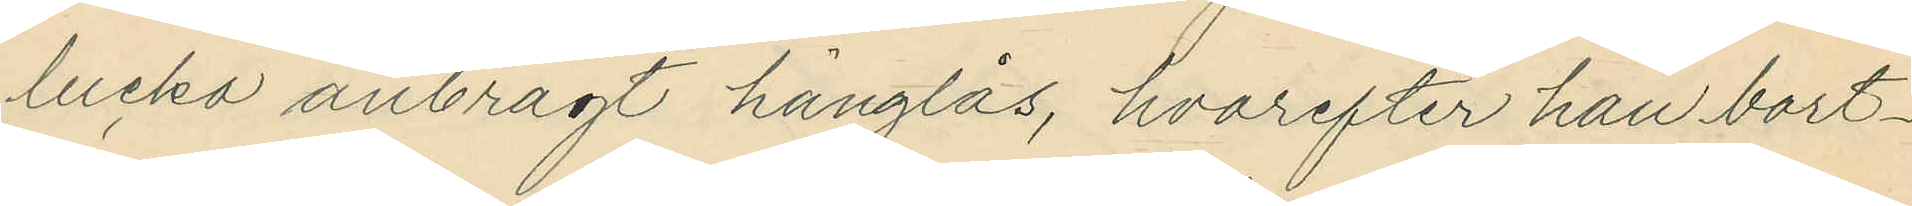lucka anbragt hänglås, hvarefter han bort¬
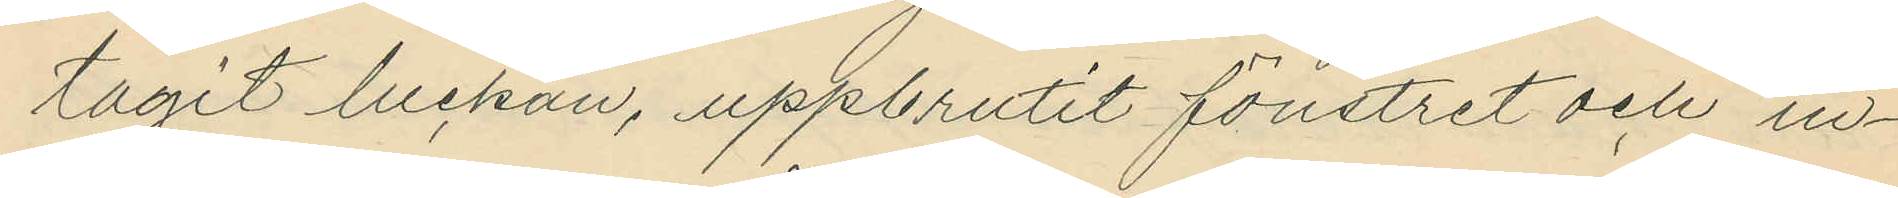tagit luckan, uppbrutit fönstret och in¬
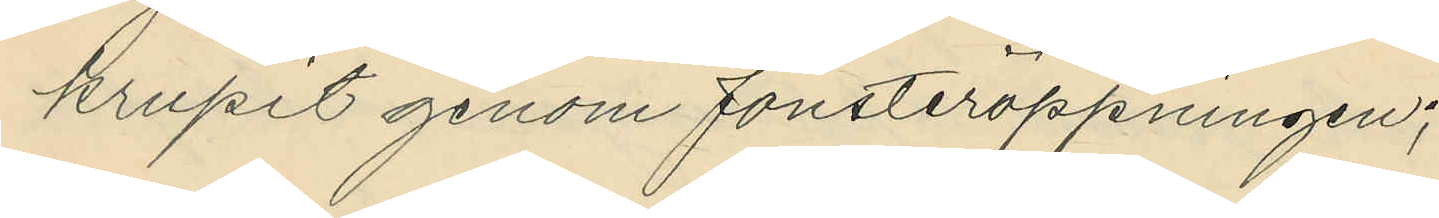krupit genom fönsteröppningen;
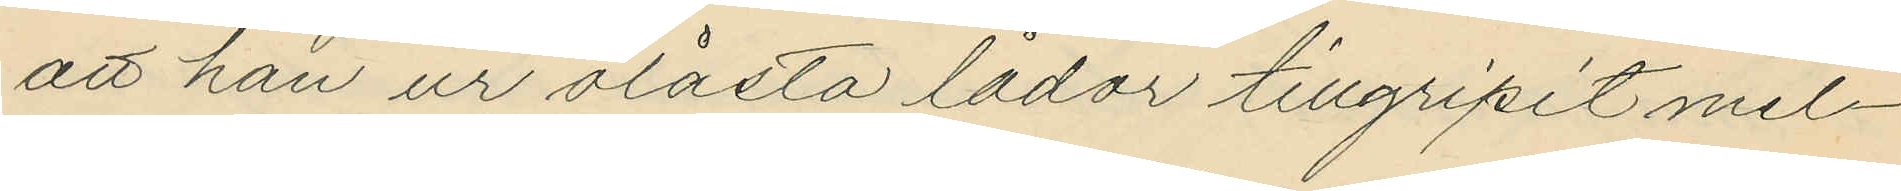att han ur olåsta lådor tillgripit mel¬
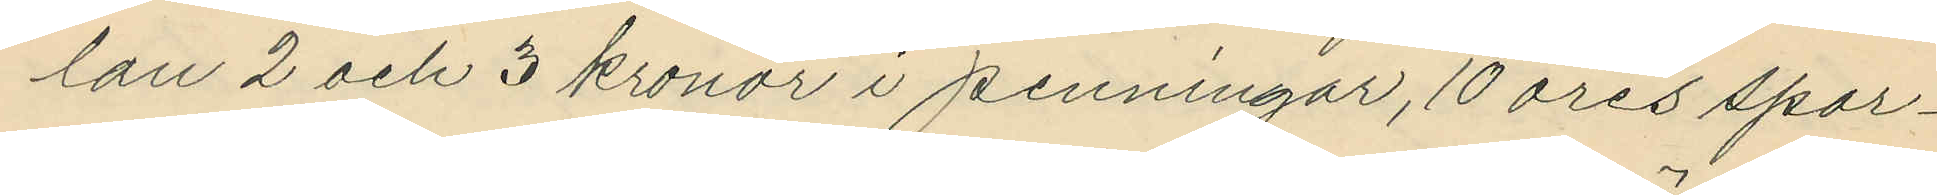lan 2 och 3 kronor i penningar, 10 öres spar¬
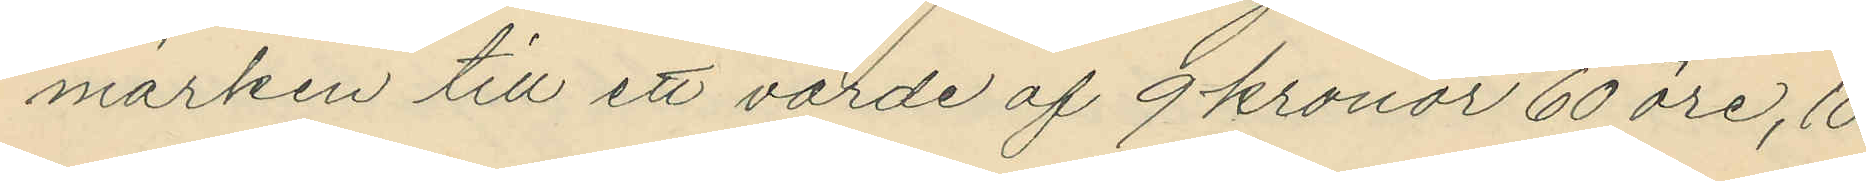märken till ett värde af 9 kronor 60 öre, 10
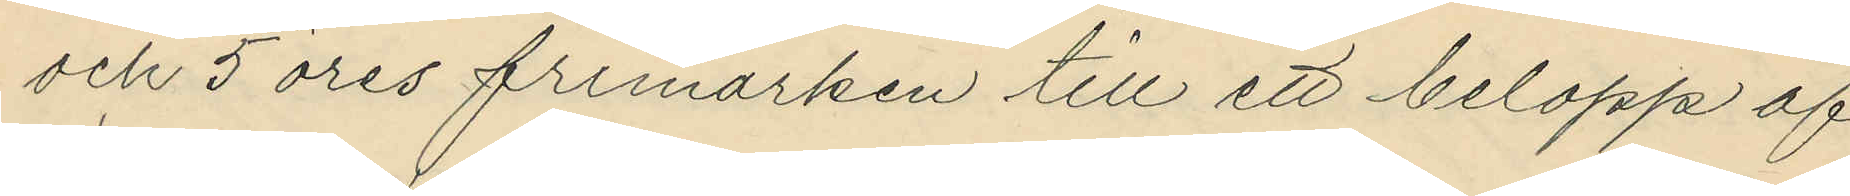och 5 öres frimärken till ett belopp af
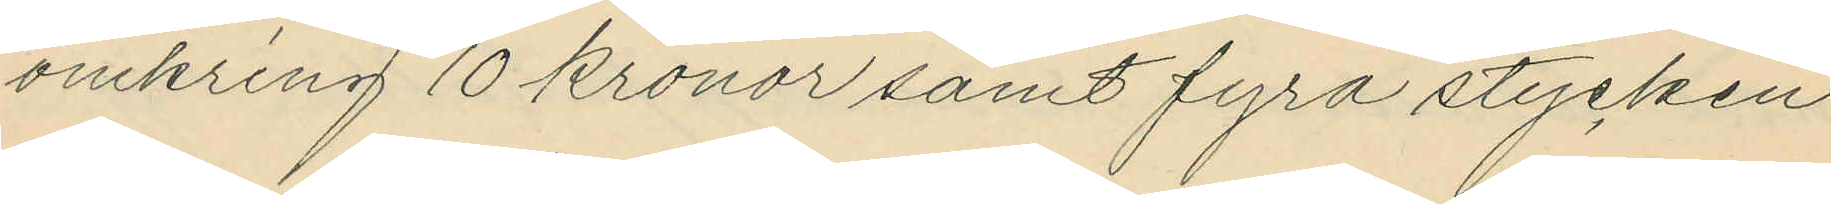omkring 10 kronor samt fyra stycken
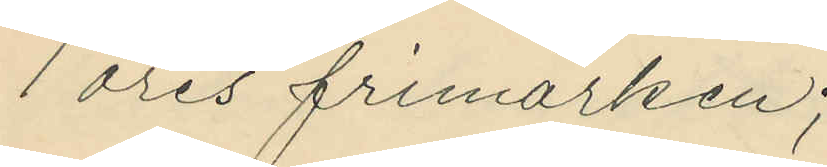1 öres frimärken;
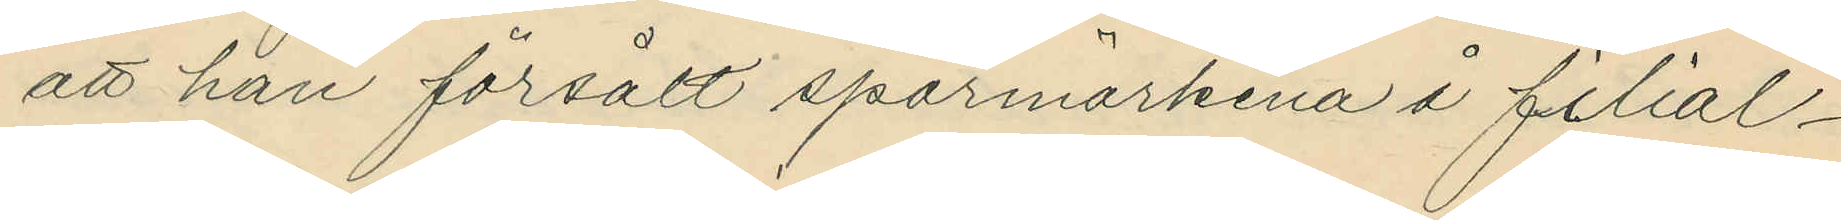att han försålt sparmärkena å filial¬
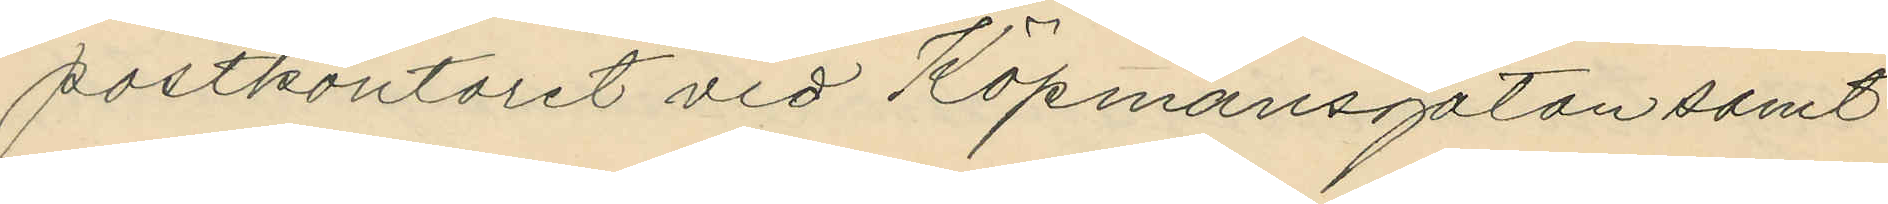postkontoret vid Köpmansgatan samt
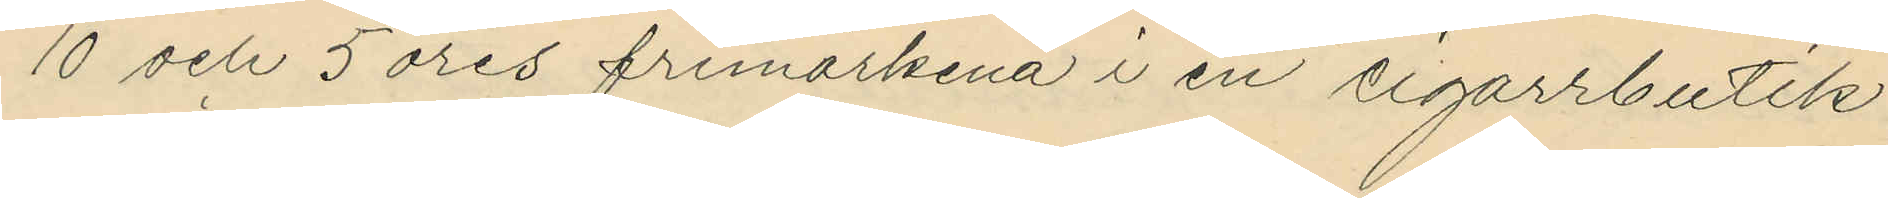10 och 5 öres frimärkena i en cigarrbutik
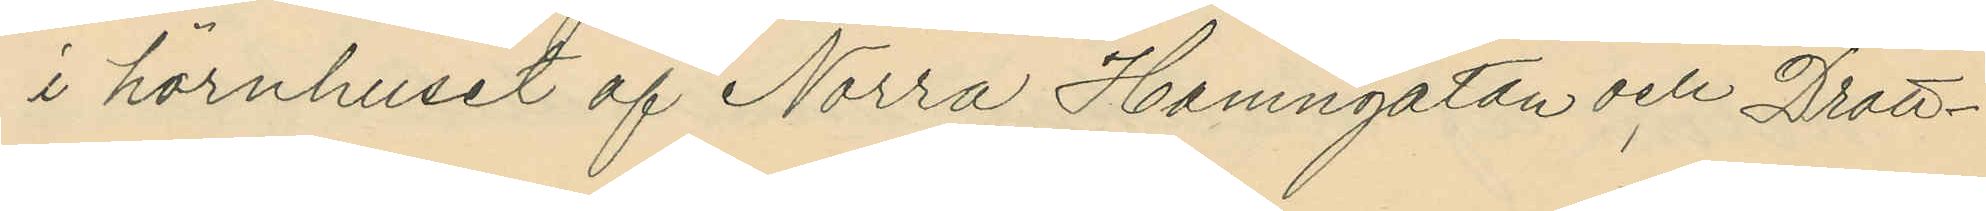i hörnhuset af Norra Hamngatan och Drott¬
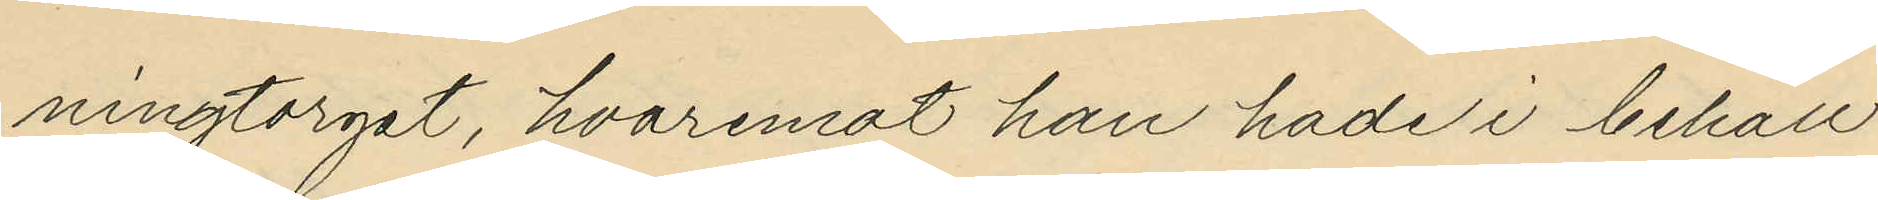ningtorget, hvaremot han hade i behåll
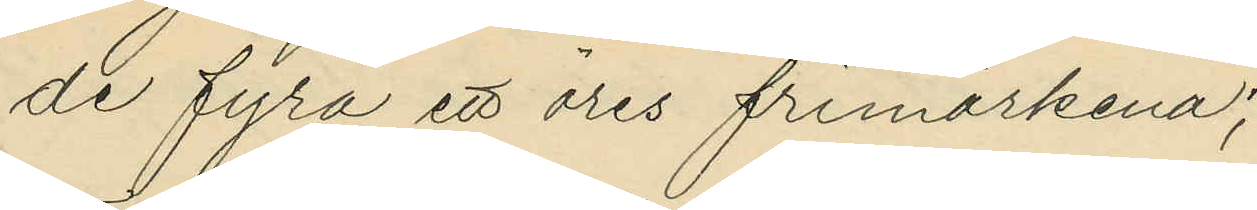de fyra ett öres frimärkena;
